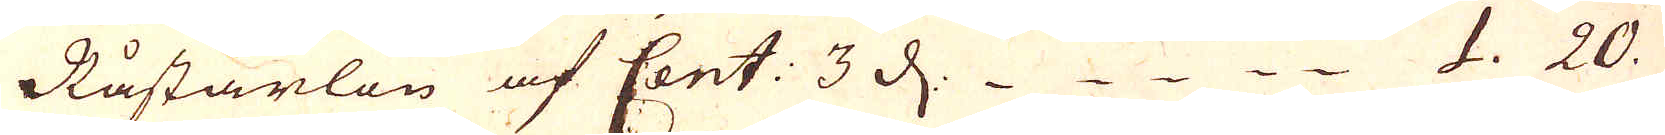Råstarlön af Cent: 3 d. 1. 20.
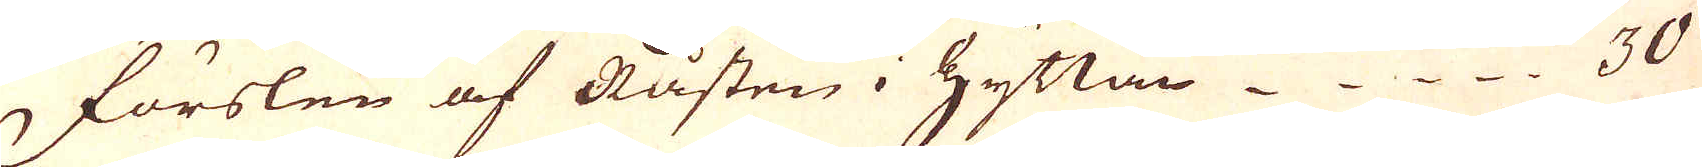förslen af Råsten i Hyttan 30
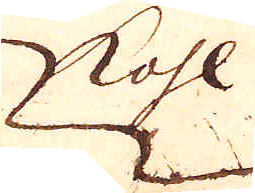kohl
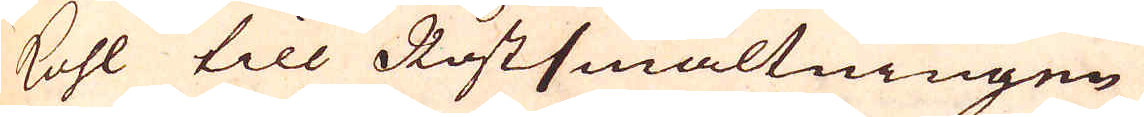kohl till Rostsmältningen
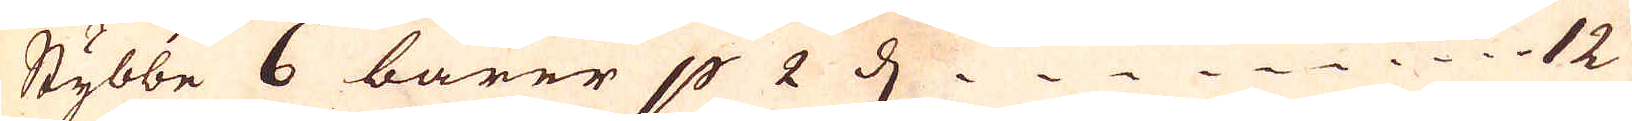Stybbe 6 barer p 2 d. 12
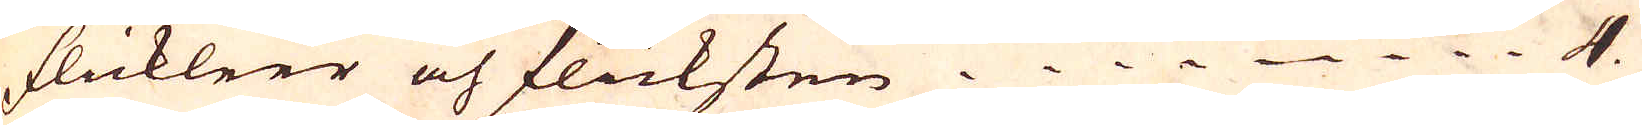flickleer och flicksten. 4.
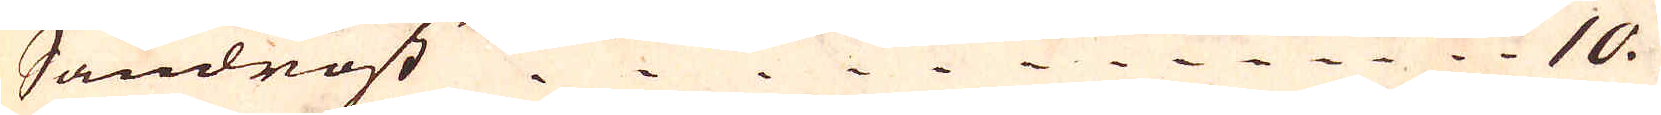Sandrost 10
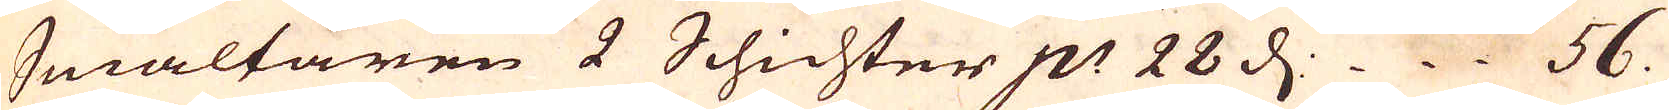Smältaren 2 Schichter p:r 28 d. 56.
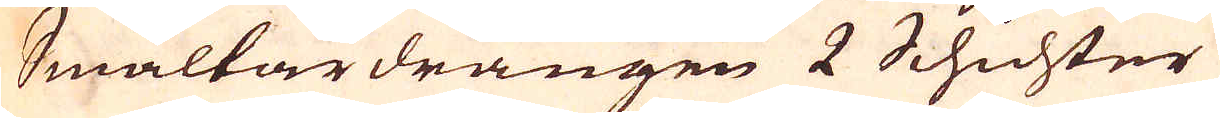Smältardrängen 2 Schichter
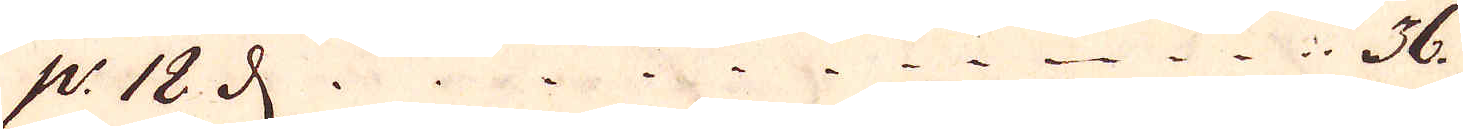p:r 18 d..  36.
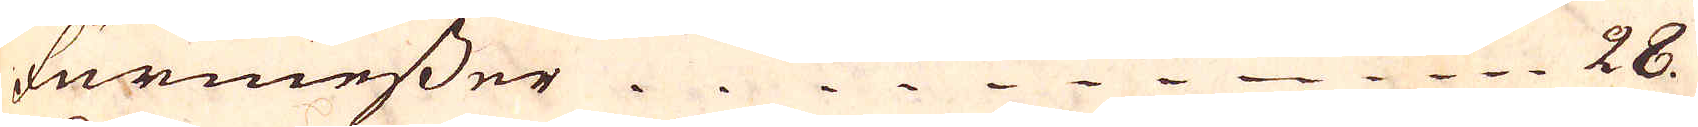furmesser. 28
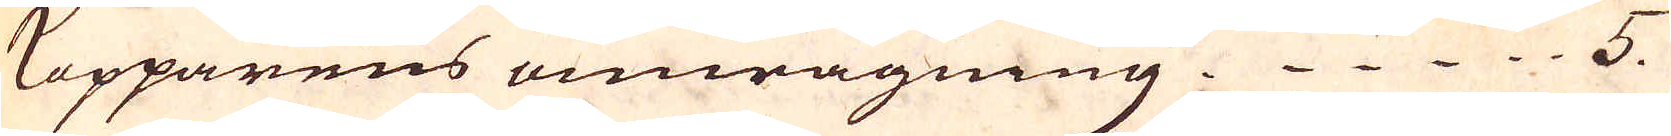Kopparens omwägning. 5.
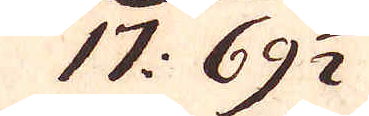17: 69 1/2
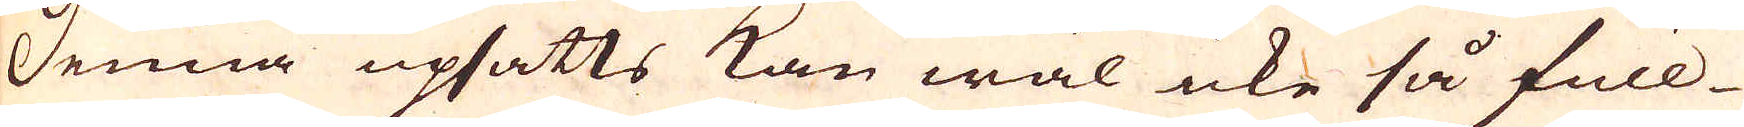Denna upsatts kan wäl icke så full-
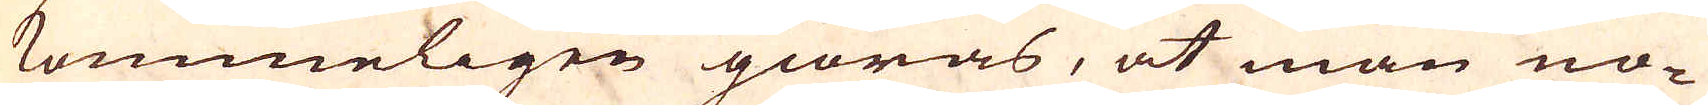kommeligen giöras, at man no-
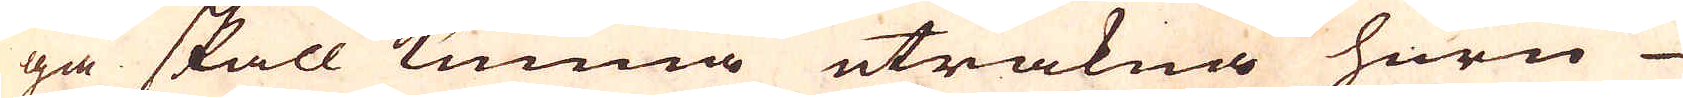ga skall kunna uträkna huru
